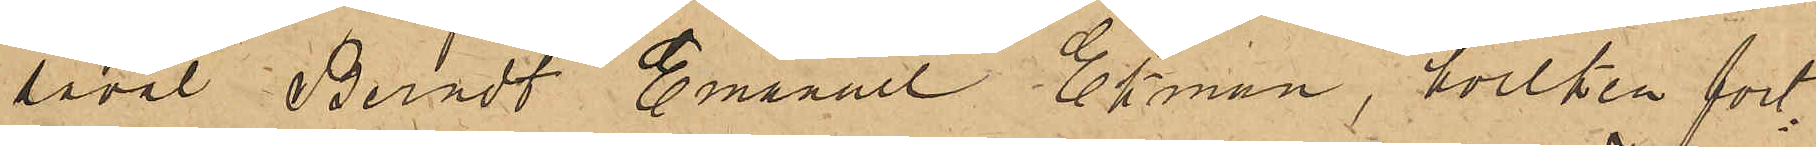såväl Berndt Emanuel Ekman, hvilken fort¬
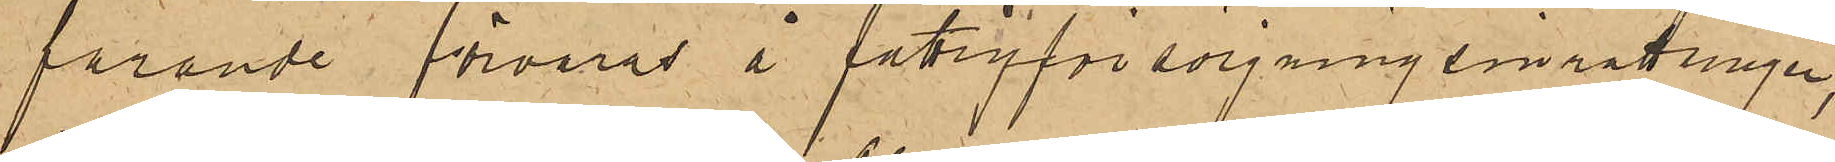farande förvaras å fattigförsörjningsinrättningen,
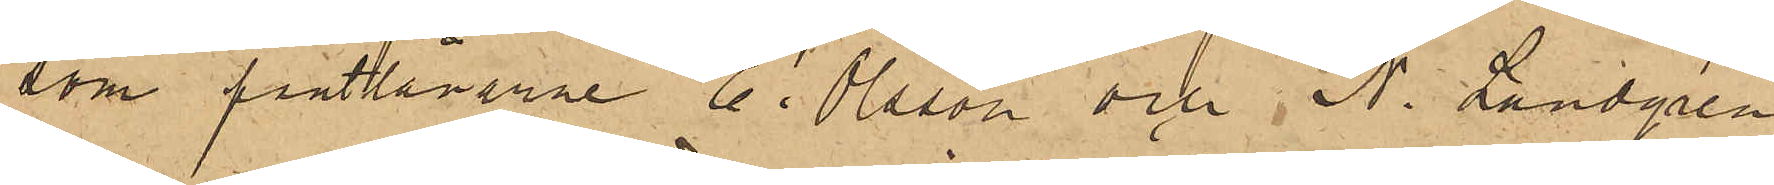som pantlånarne E. Olsson och N. Landgren
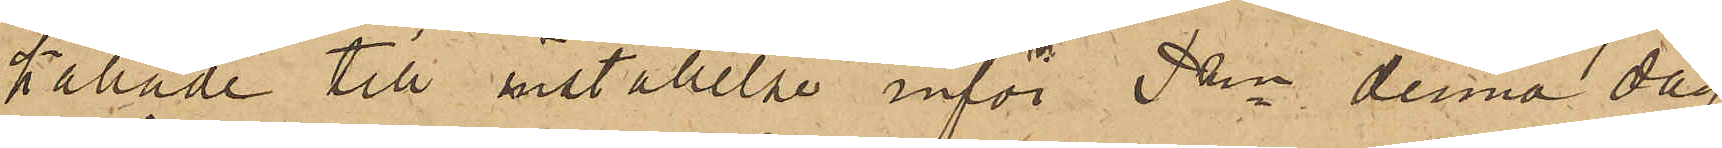kallade till inställelse inför Pkn denna dag
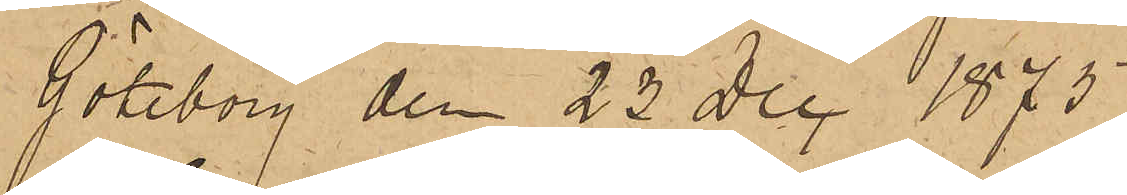Göteborg den 23 Dec 1875.
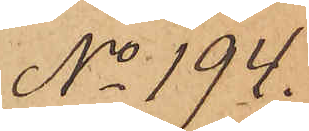No 194.
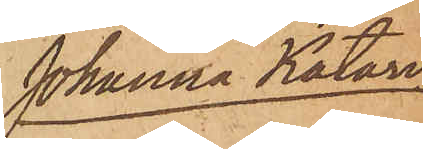Johanna Katari¬
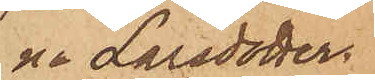na Larsdotter.
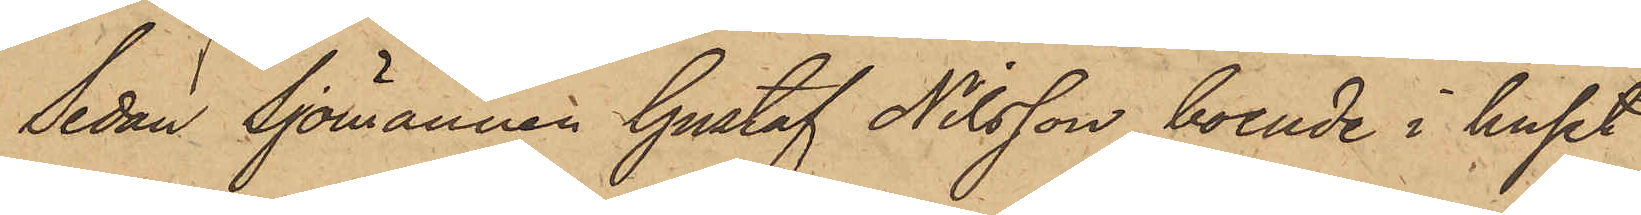Sedan Sjömannen Gustaf Nilsson, boende i huset
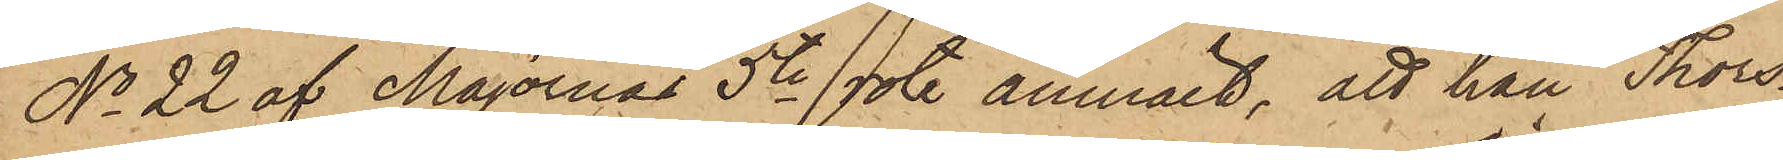No 22 af Majornas 5te rote anmält, att han Thors¬
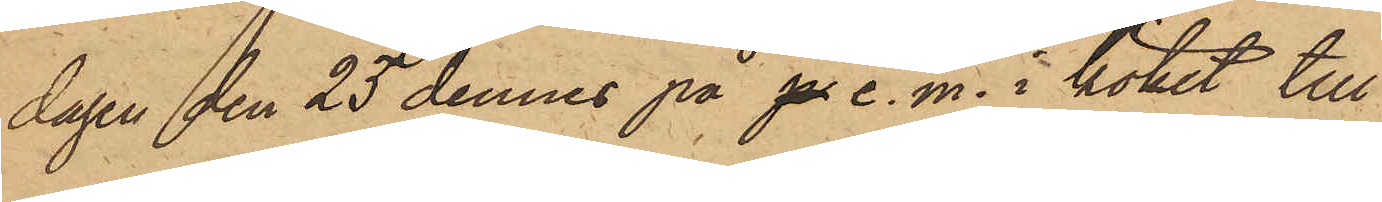dagen den 25 dennes på p e. m. i köket till
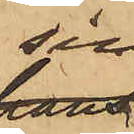sin
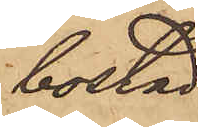bostad
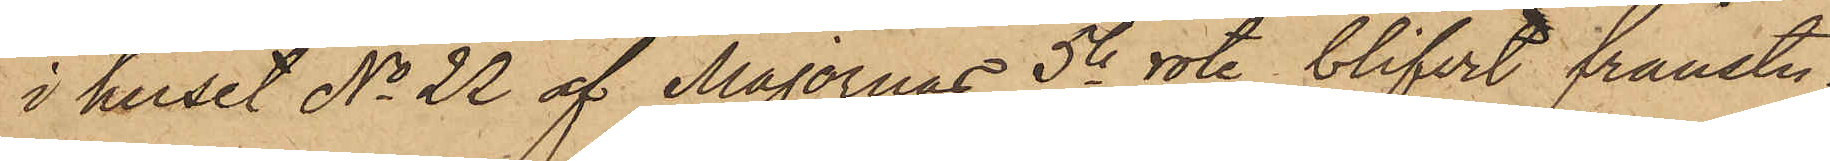i huset No 22 af Majornas 5te rote, blifvit frånstu¬
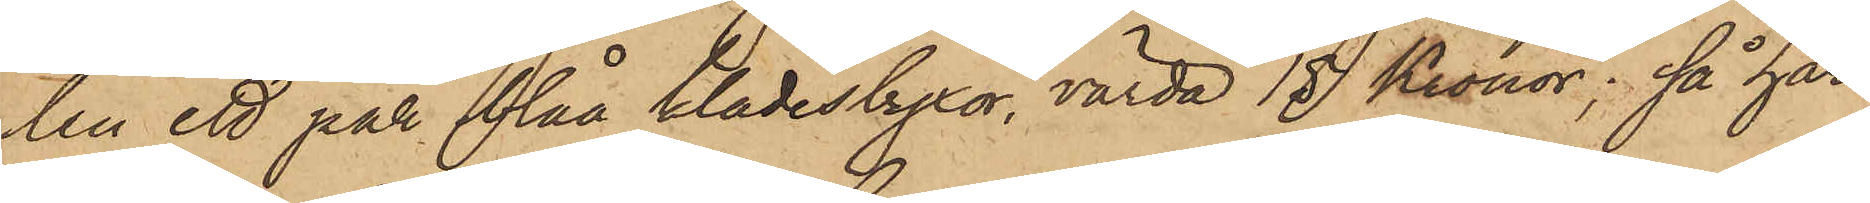ten ett par blåa klädesbyxor, värda 15 Kronor; så har
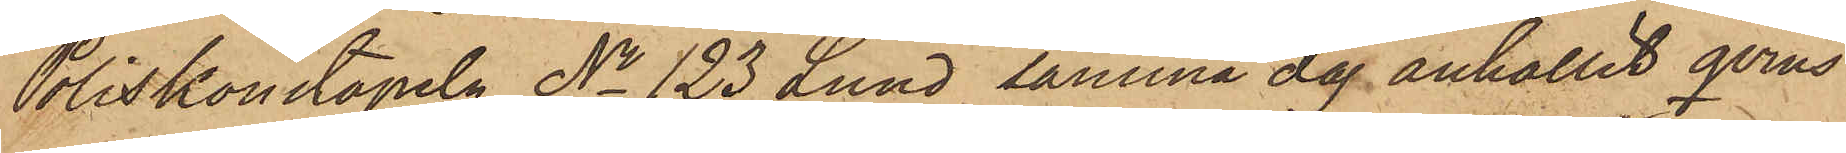Poliskonstapeln No 123 Lund samma dag anhållit qvins¬
